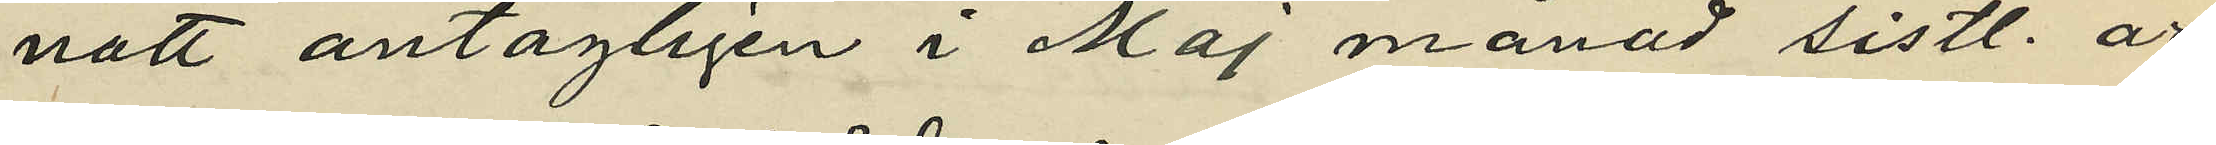natt antagligen i Maj månad sistl. år
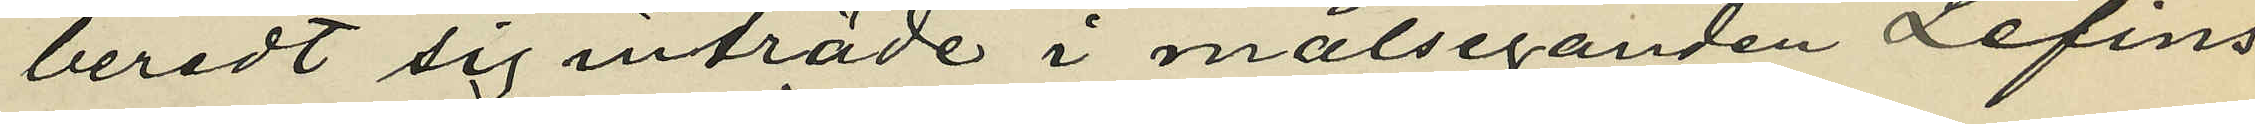beredt sig inträde i målseganden Lefins
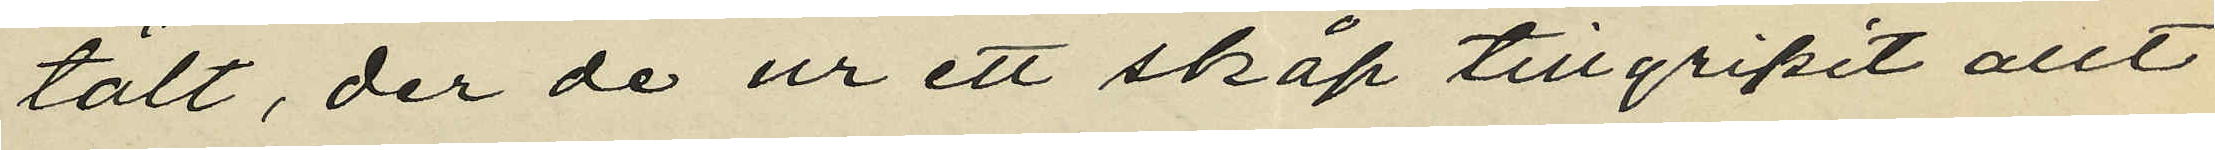tält, der de ur ett skåp tillgripit allt
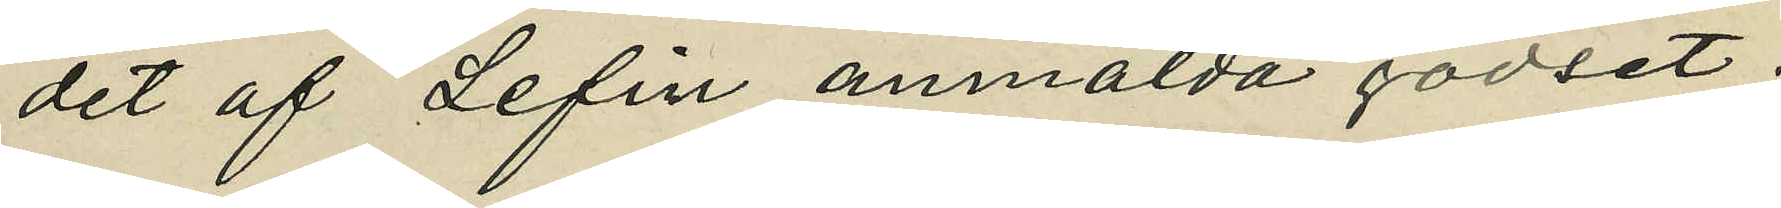det af Lefin anmälda godset;
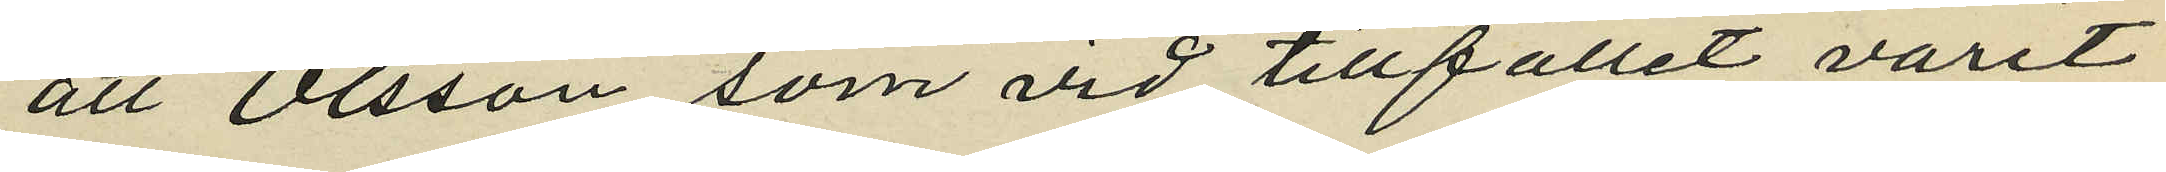att Olsson som vid tillfället varit
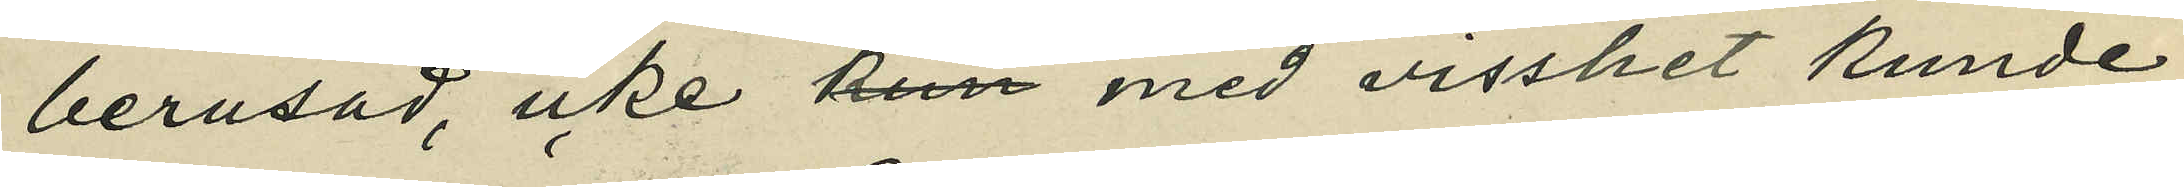berusad, icke med visshet kunde
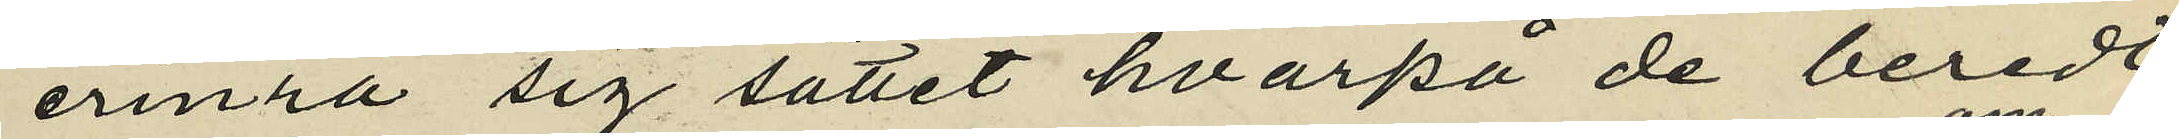erinra sig sättet hvarpå de beredt
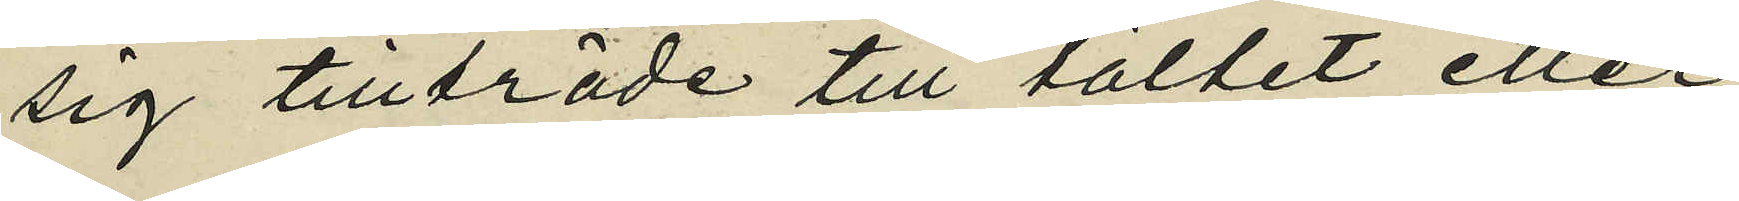sig tillträde till tältet eller
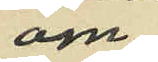om
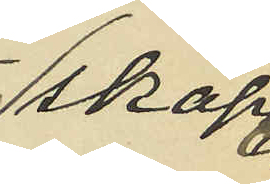skåpet
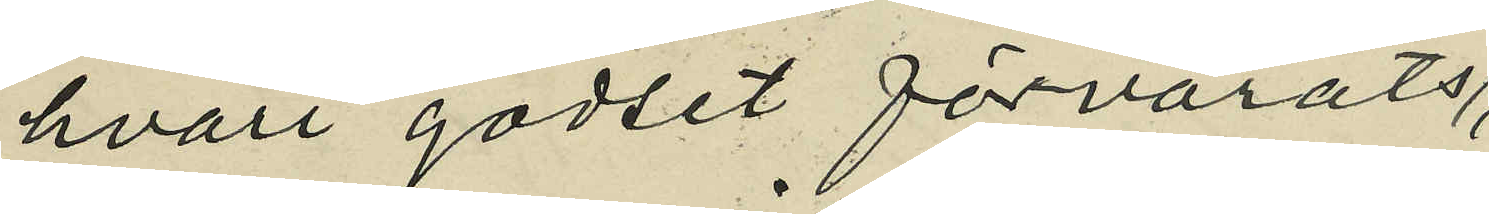hvari godset förvarats,
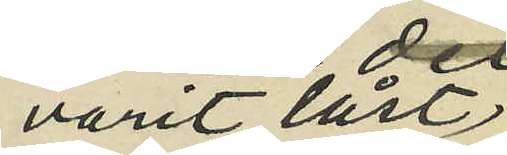varit låst,
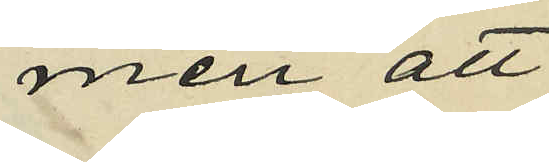men att
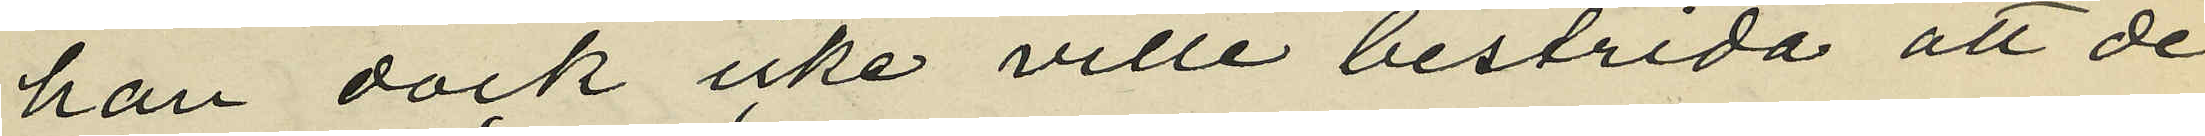han dock icke ville bestrida att de
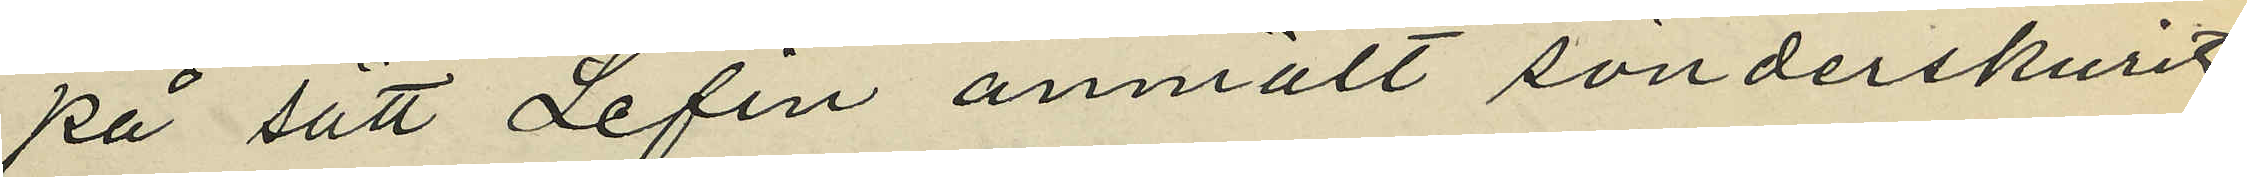på sätt Lefin anmält sönderskurit
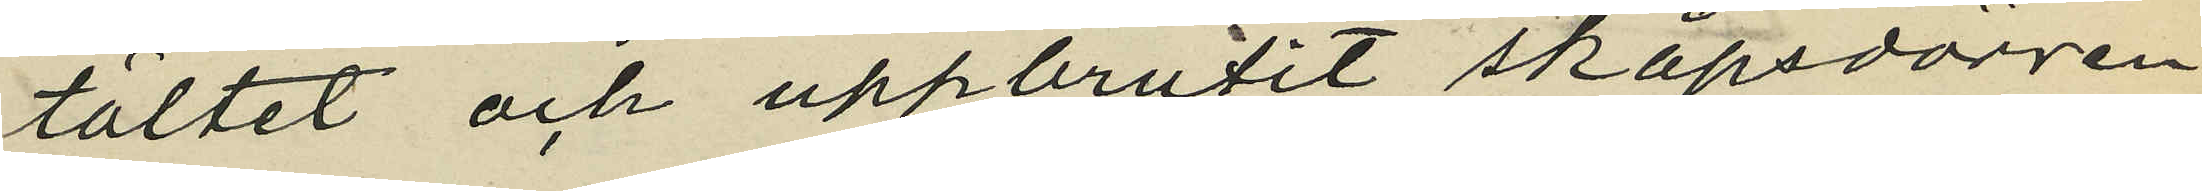tältet och uppbrutit skåpsdörren;
